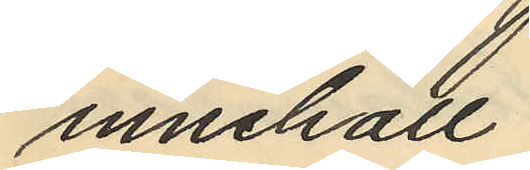innehåll.
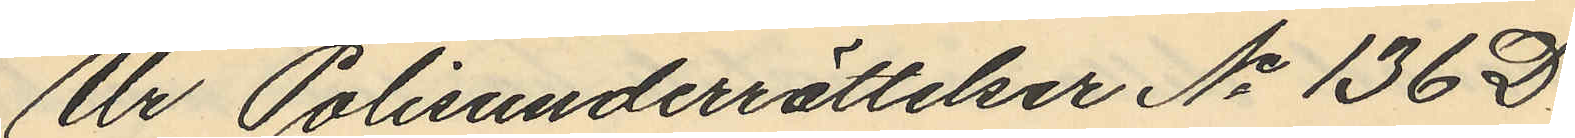Ur Polisunderrättelser No 136 D.
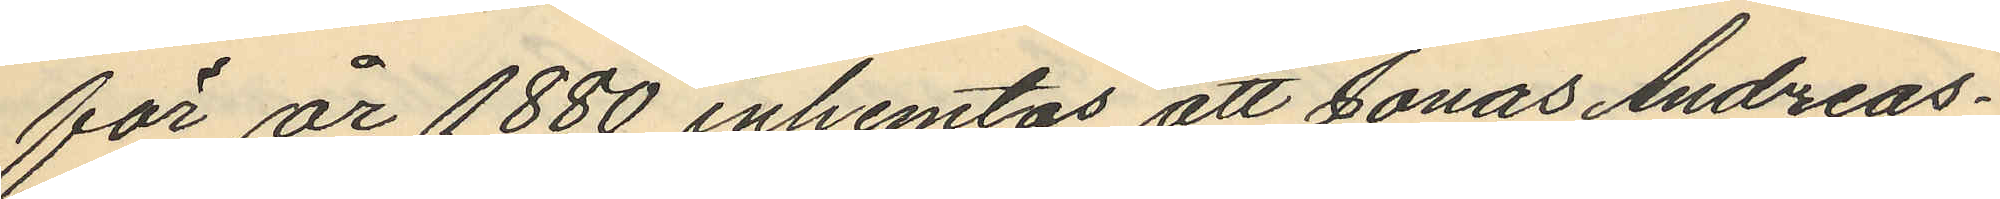för år 1880 inhemtas att Jonas Andreas¬
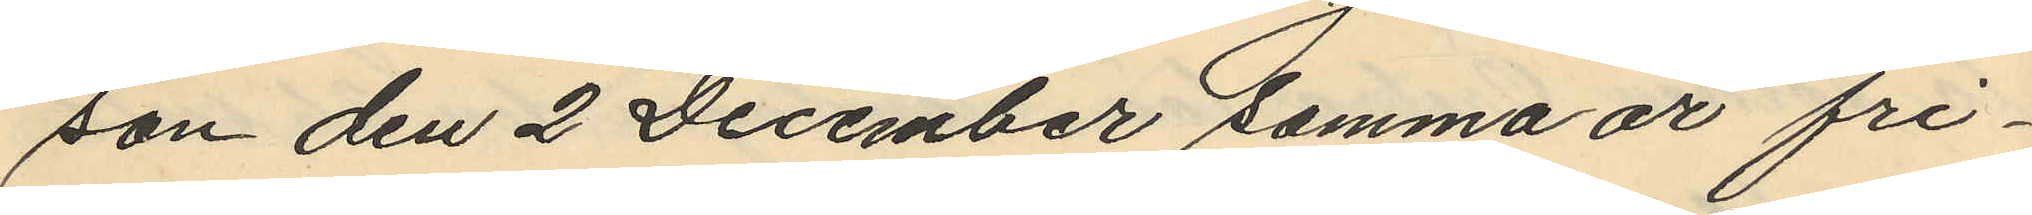son den 2 December samma år fri¬
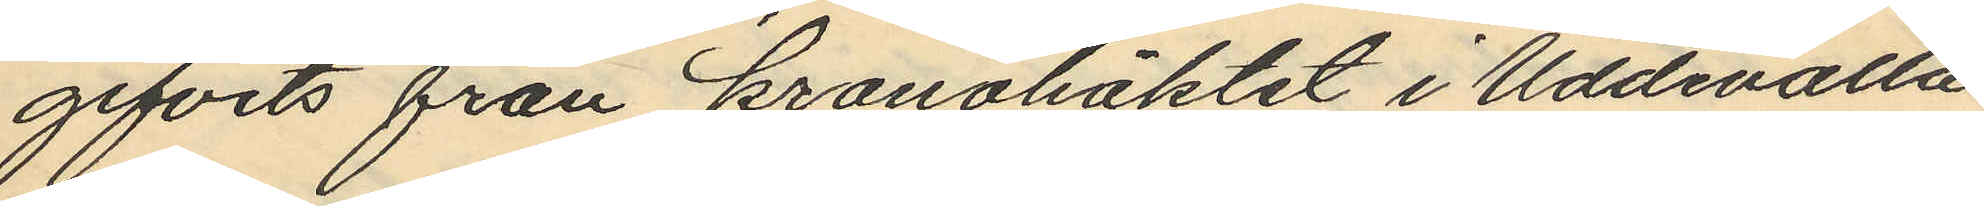gifvits från kronohäktet i Uddevalla
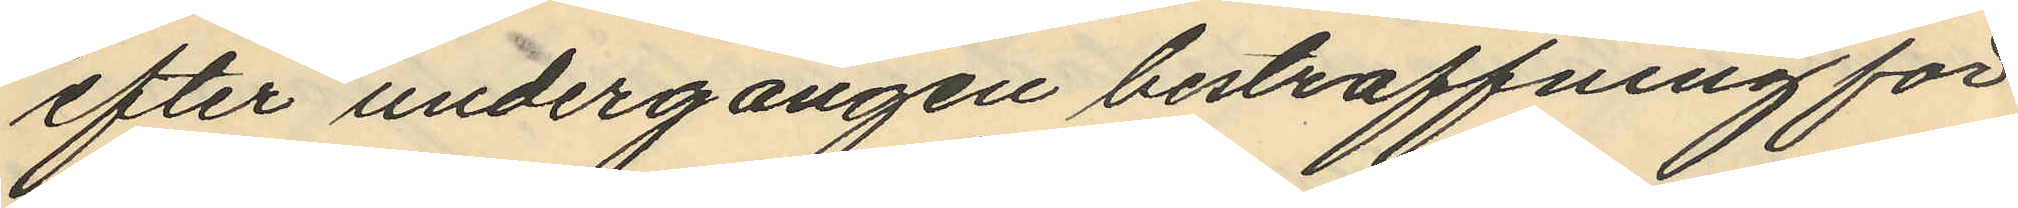efter undergången bestraffning för
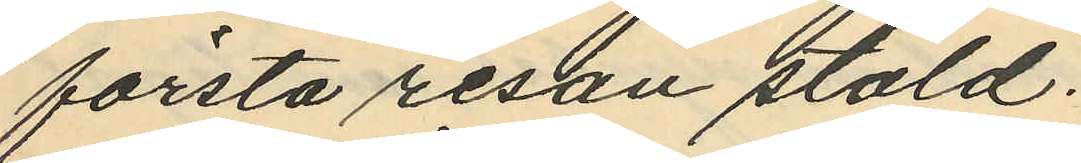första resan stöld.
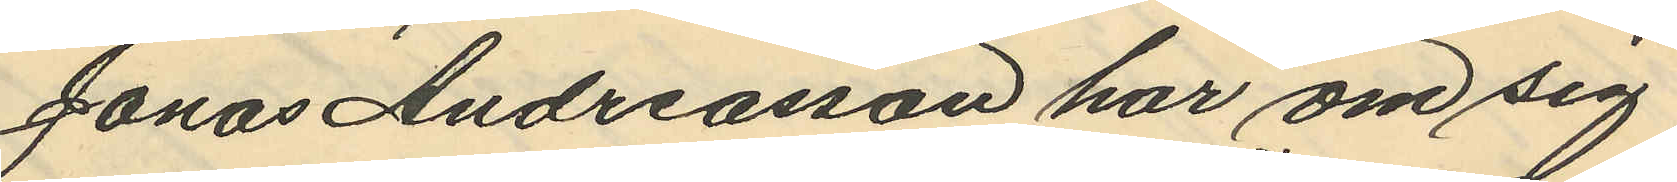Jonas Andreasson har om sig
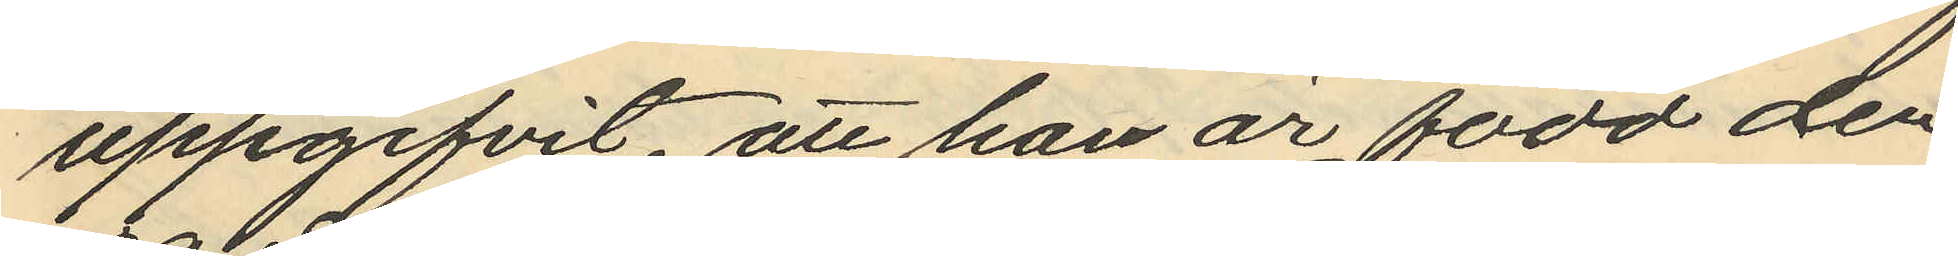uppgifvit, att han är född den
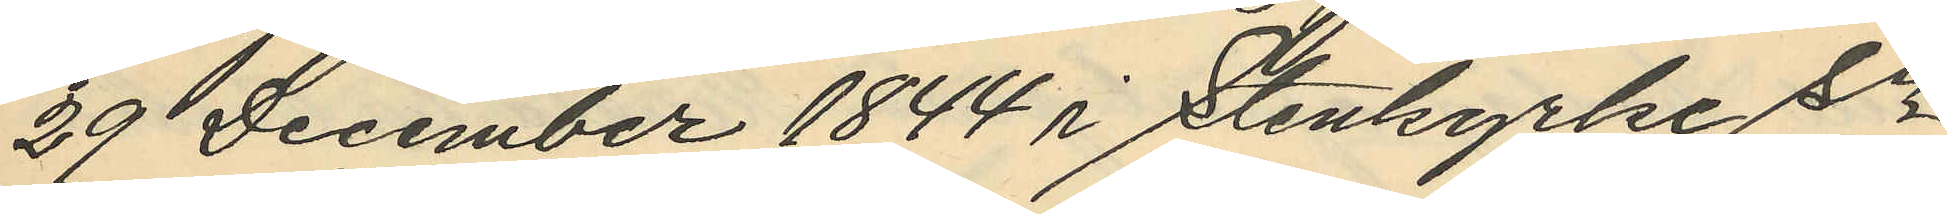29 December 1844 i Stenkyrke Sn
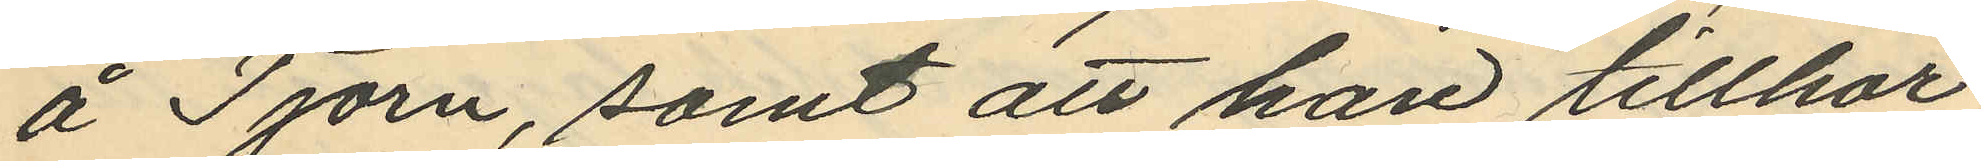å Tjörn, samt att han tillhör
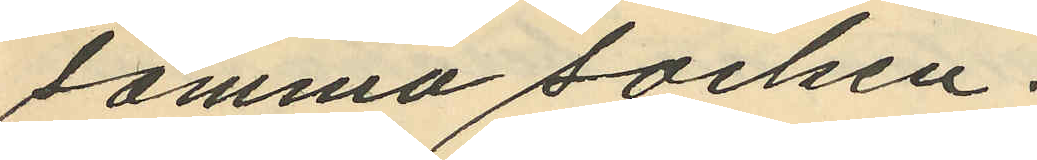samma socken.
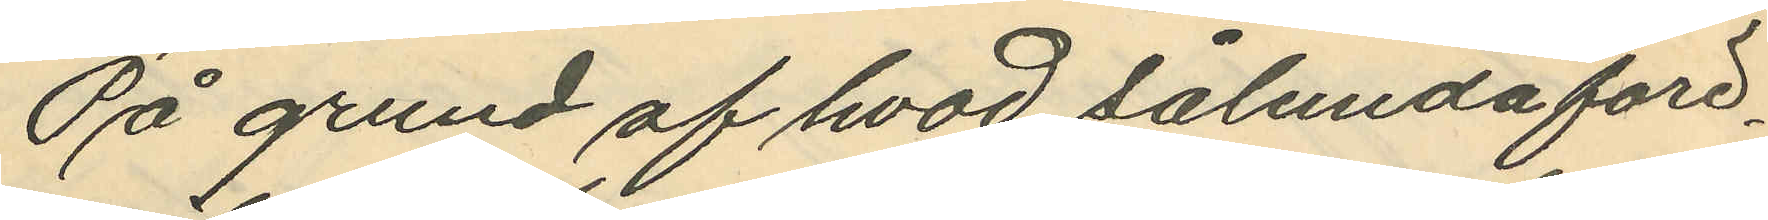På grund af hvad sålunda före¬
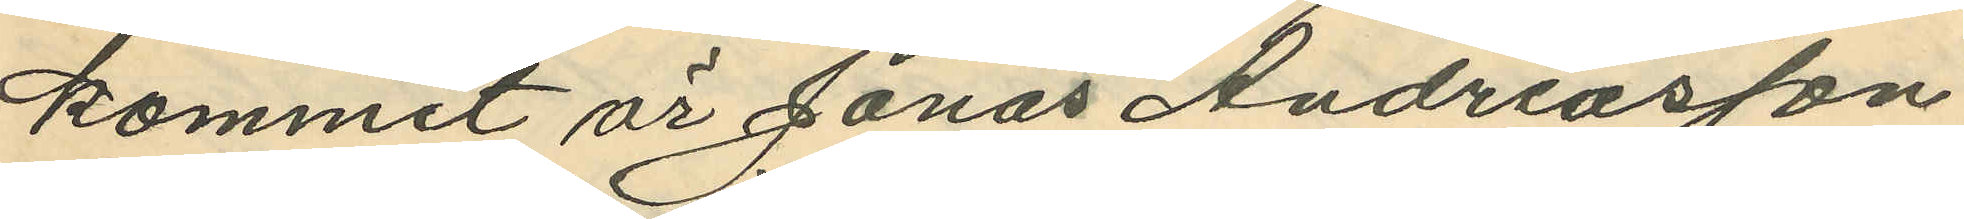kommit är Jonas Andreasson
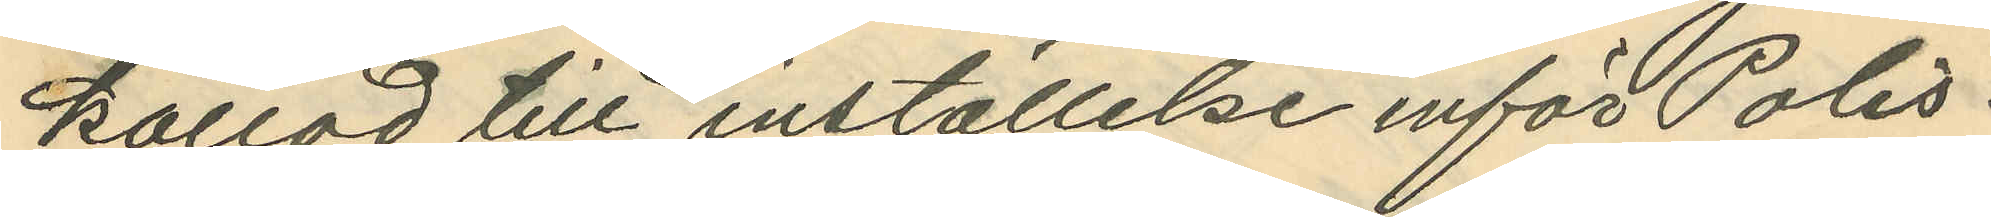kallad till inställelse inför Polis¬
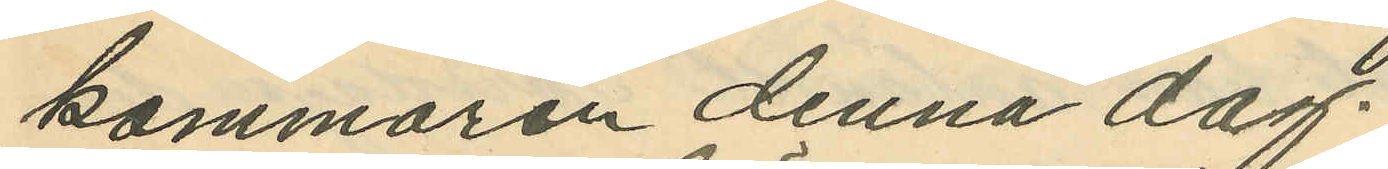kammaren denna dag.
